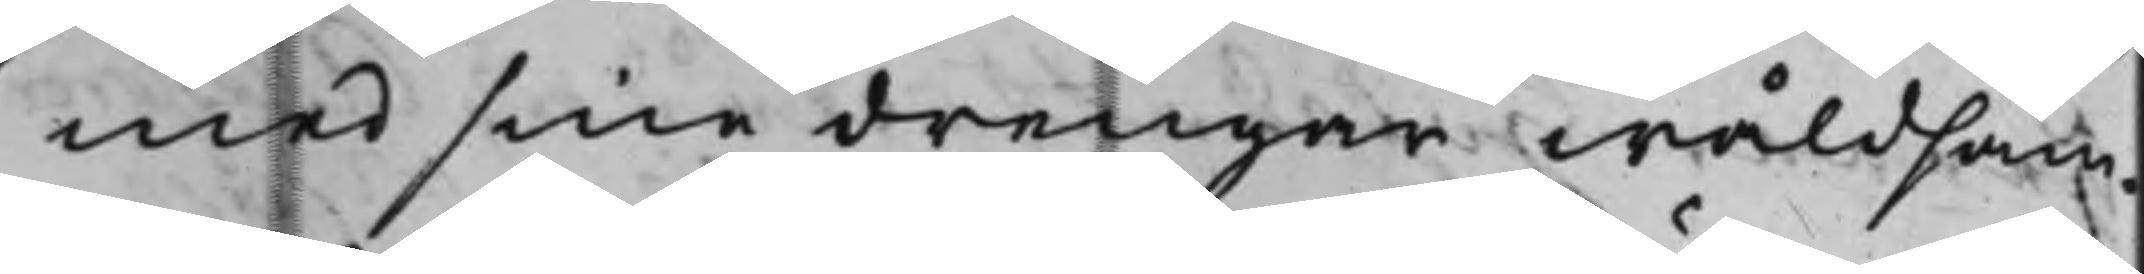med sine drengar wåldsam¬
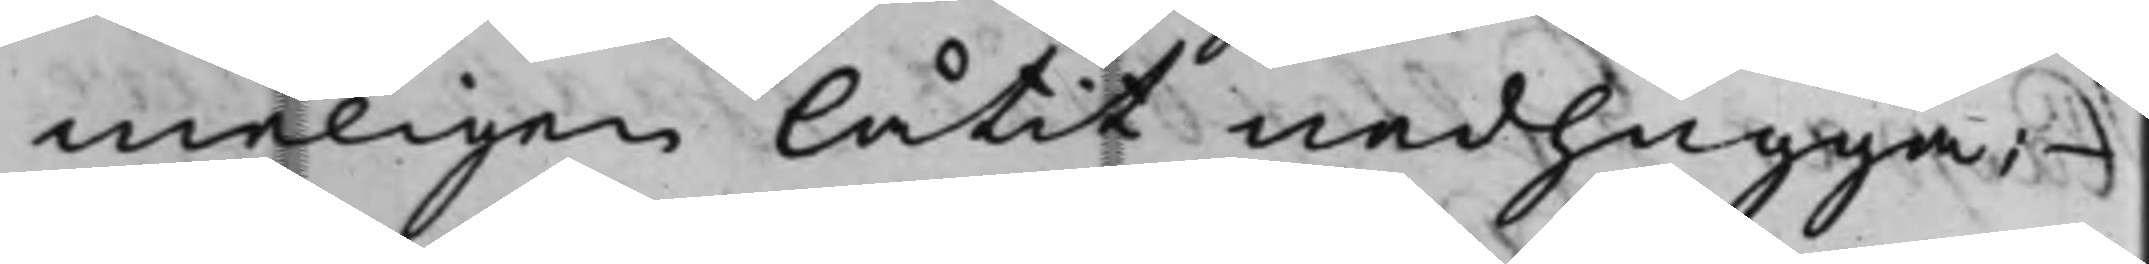meligen låtit nedhugga;
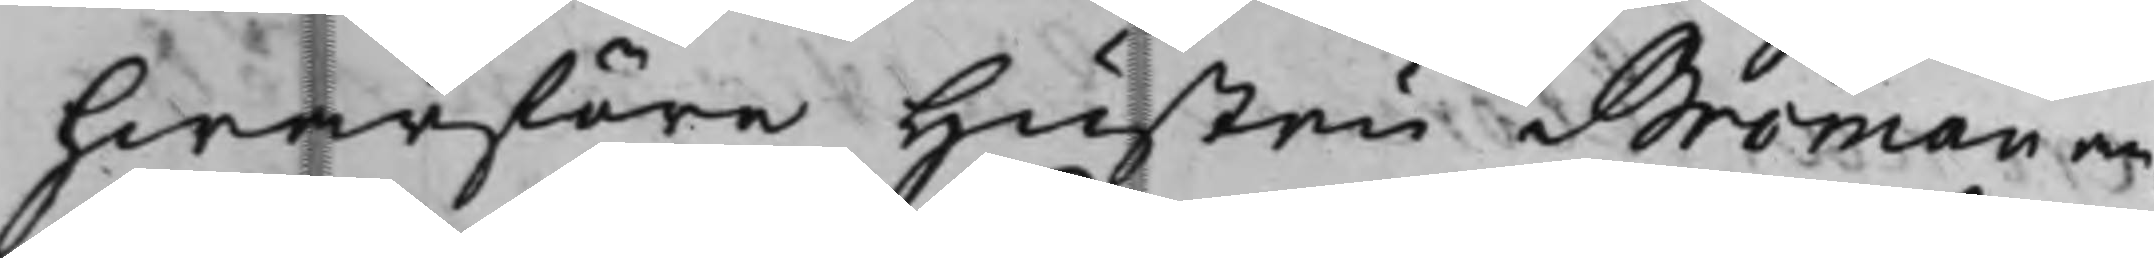hwarföre Hustru Broman an¬
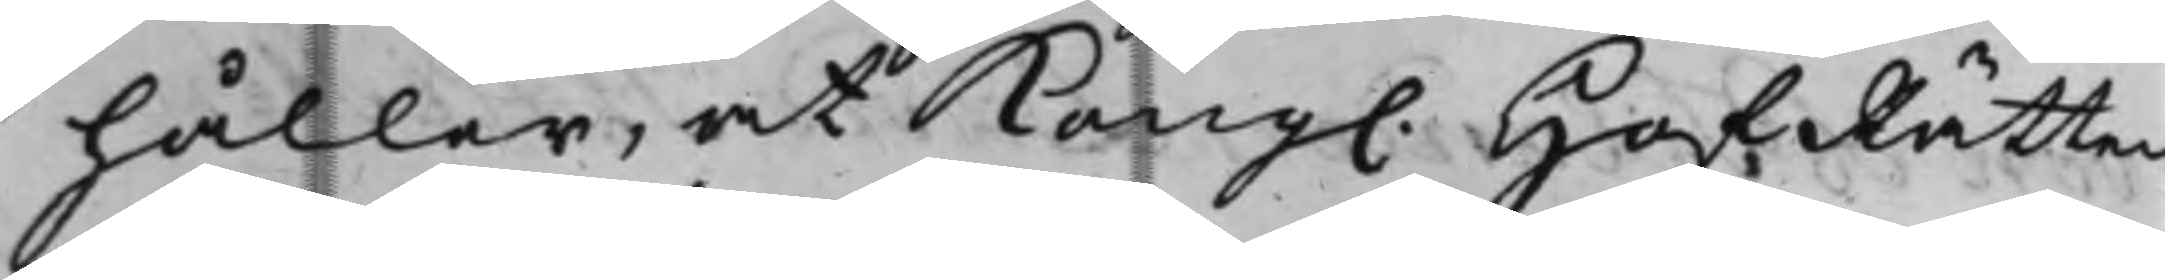håller, at Kong. HofRätten
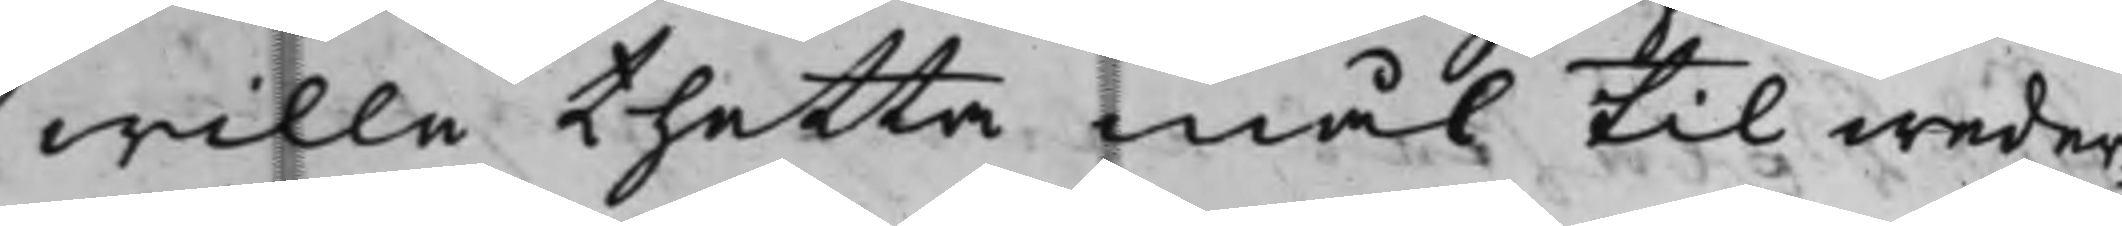wille thetta mål til weder¬
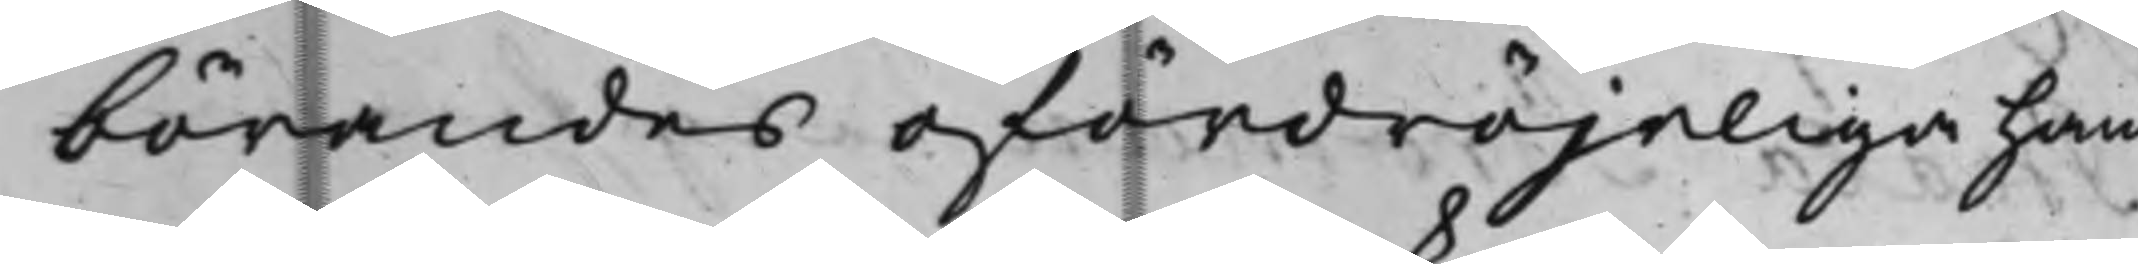börandes ofördröjeliga hand¬
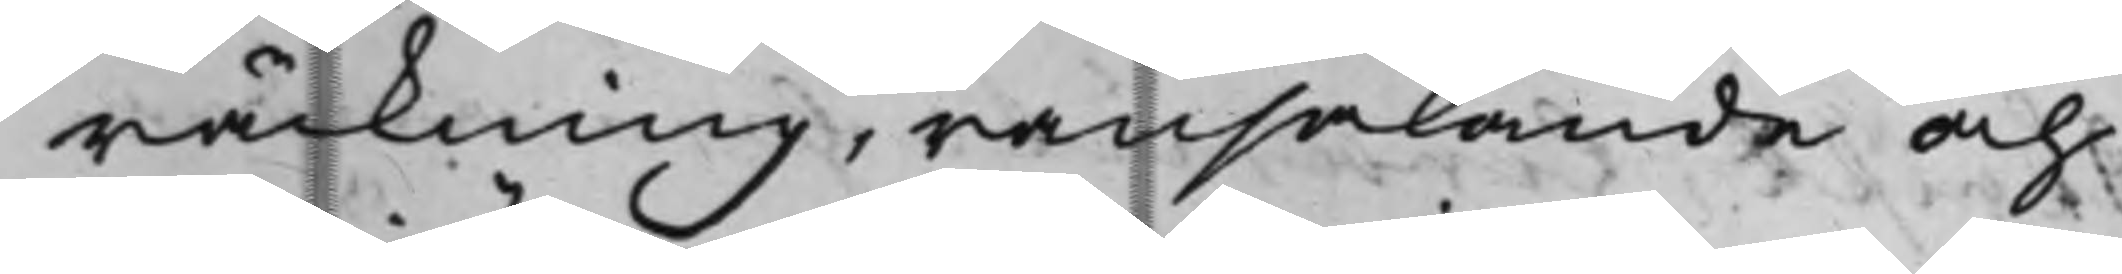räckning, ransakande och
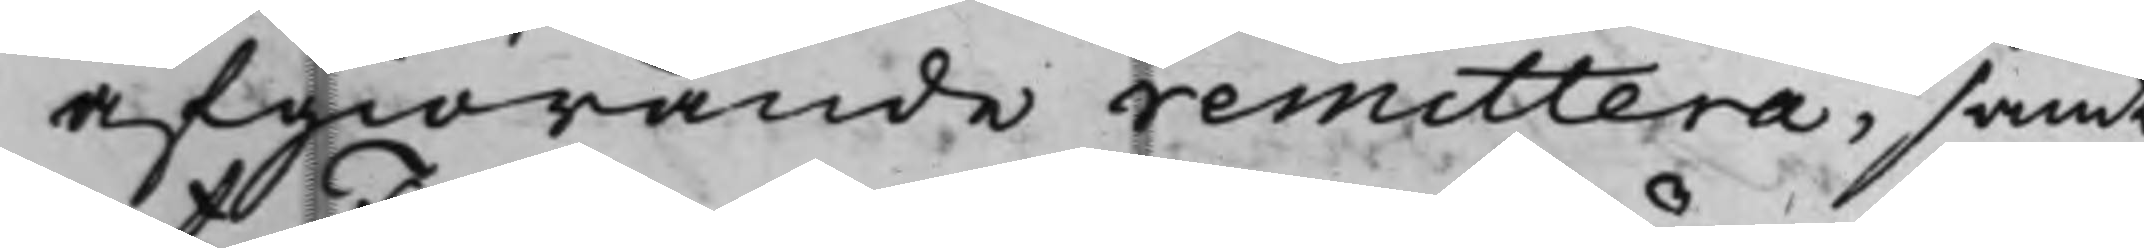afgiörande remittera, samt
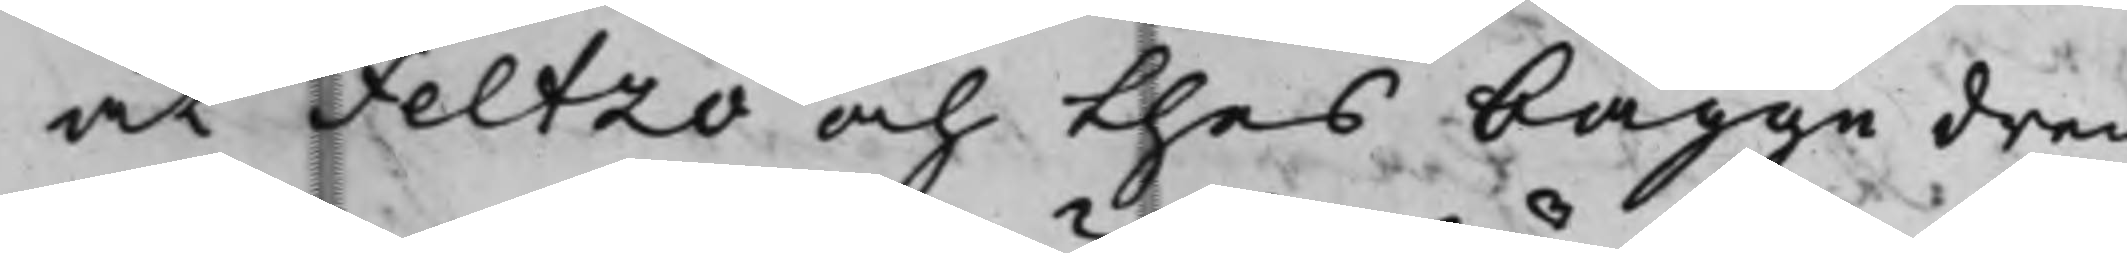at Feltzo och thes bägge dren¬
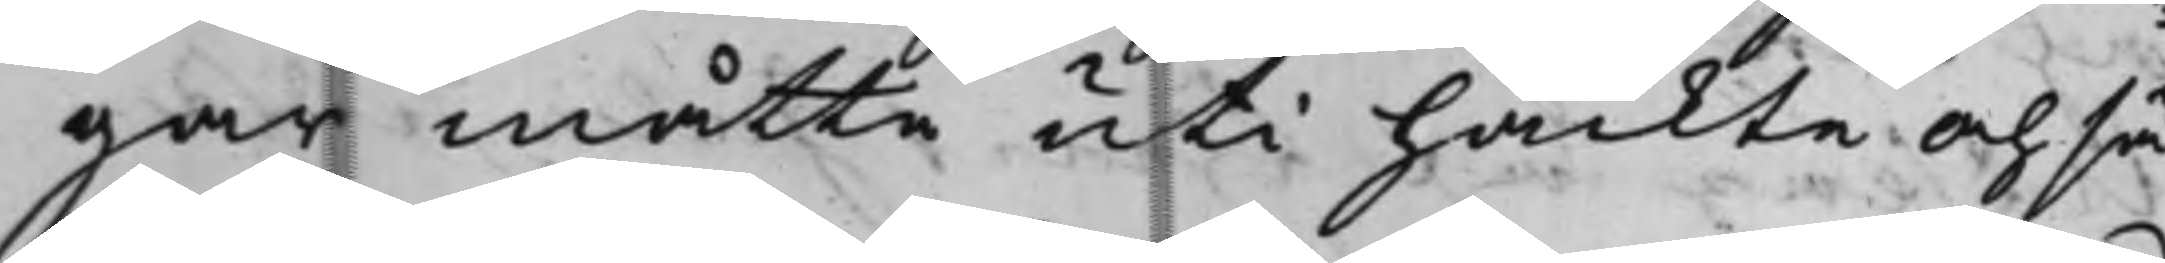gar måtte uti häckte och sä¬
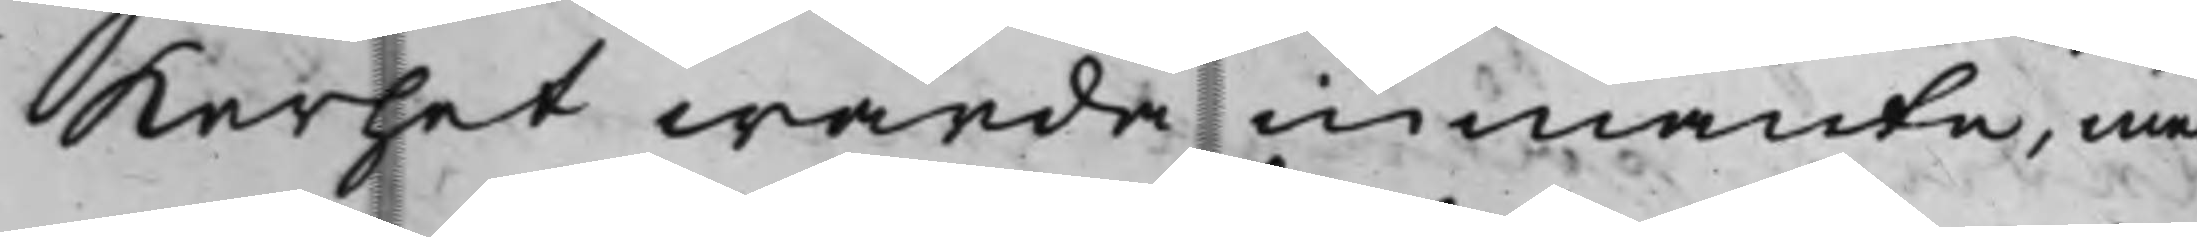karhet warda inmante, med
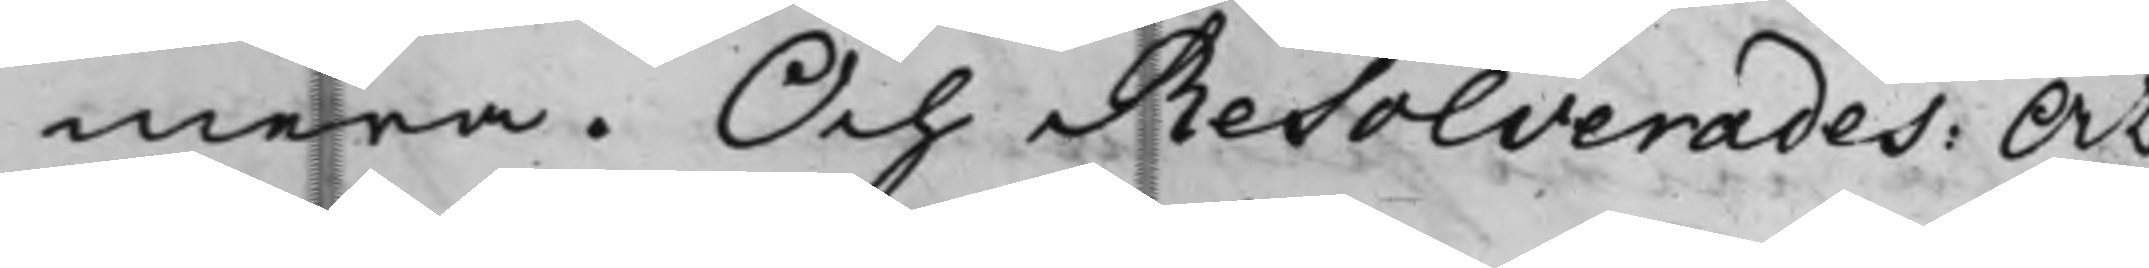mera. Och Resolverades: At
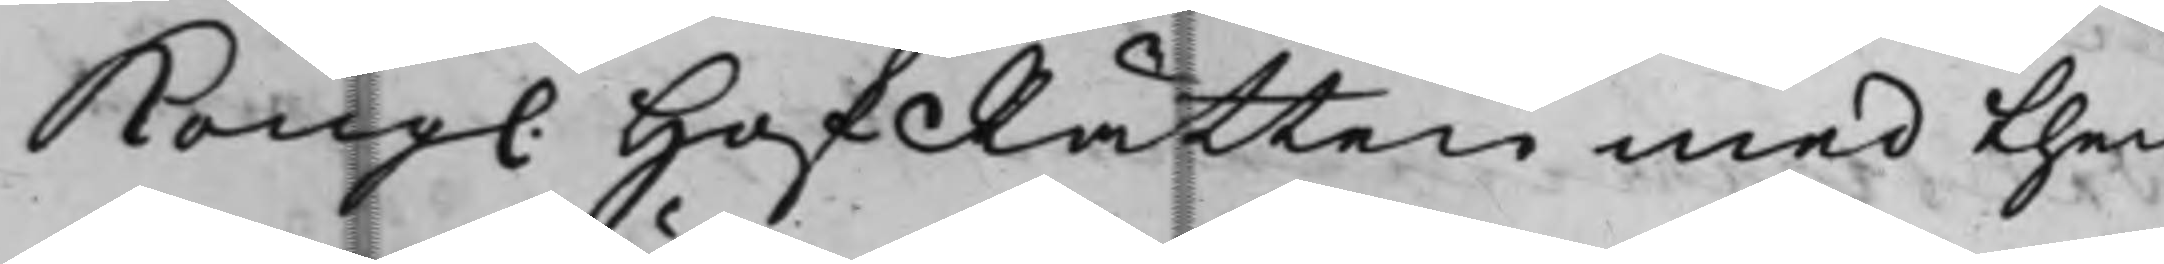Kong. HofRätten med then¬
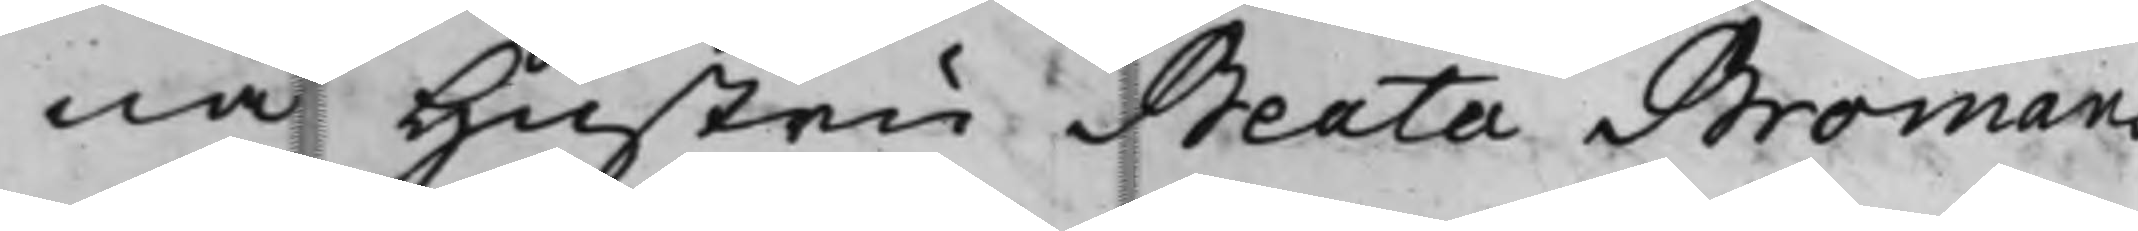na Hustru Beata Bromans
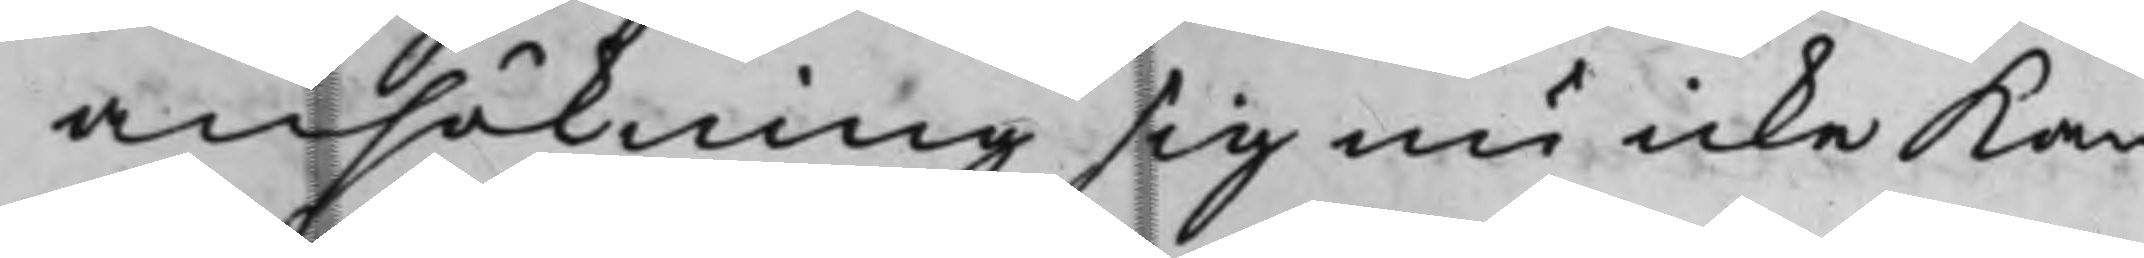ansökning sig nu icke kan
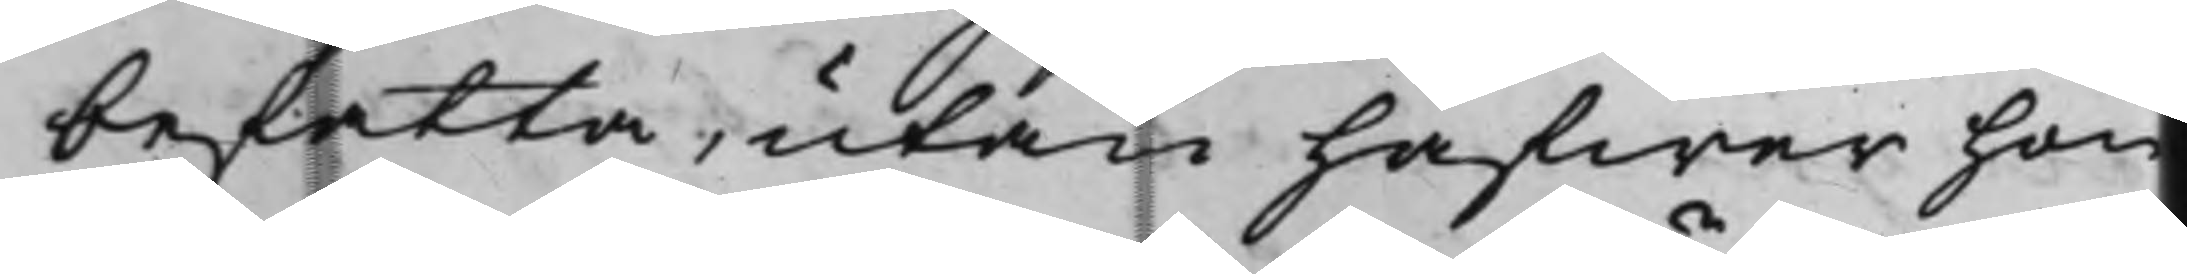befatta, utan hafwer hon
